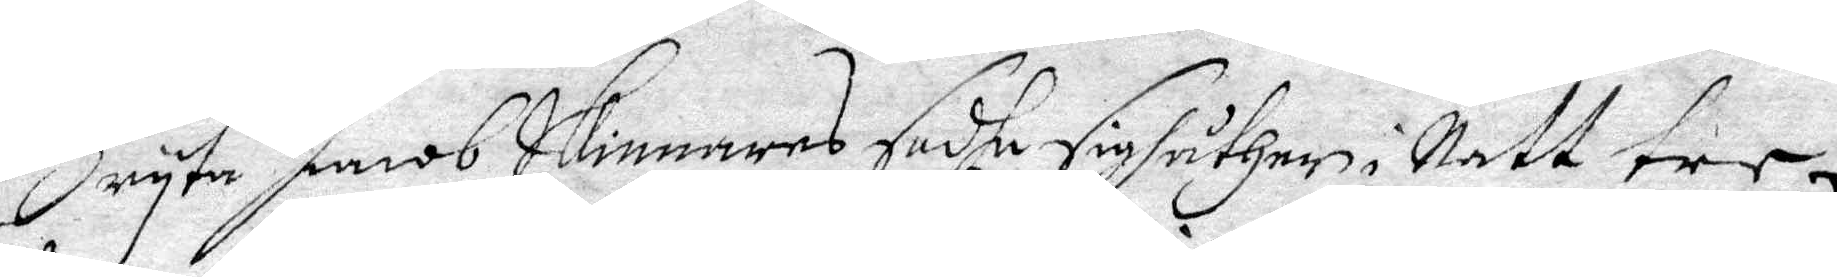Bryta Jacob Skinnares sadhe sigh åther i Natt tre
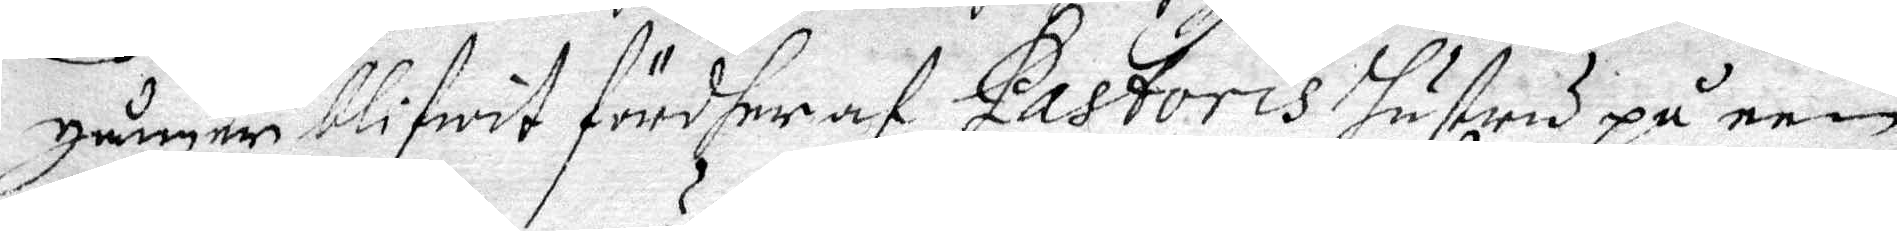gånger blifwit fördher af Pastoris Hustru på een
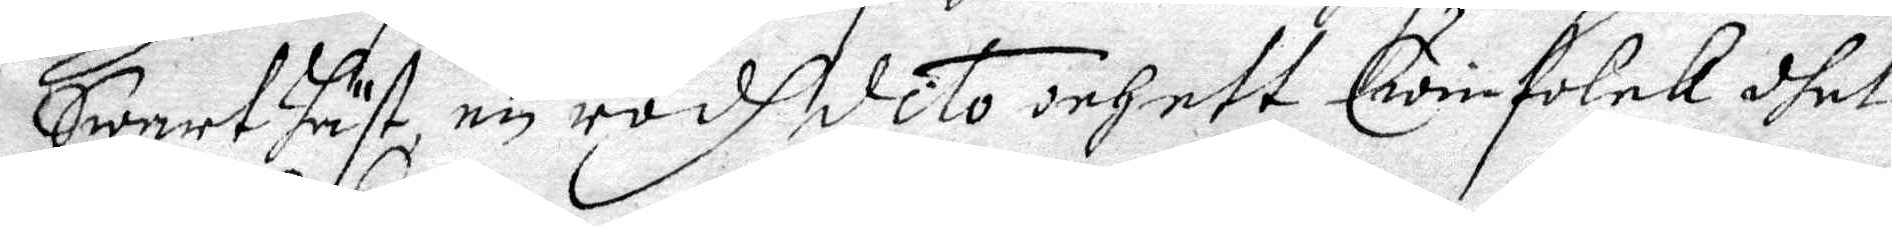Swart Häst, en rödh dito och ett Qwinfolck dhet
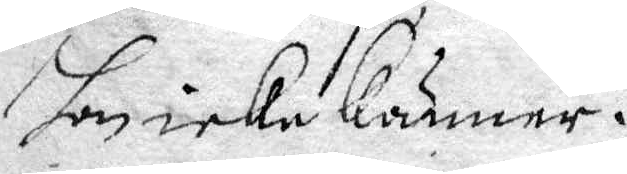hon icke känner.
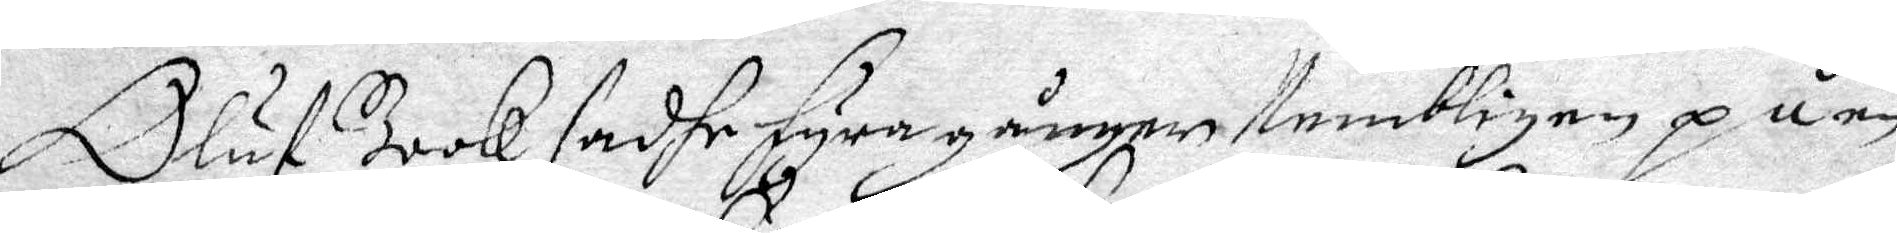Oluf Book sadhe fyra gånger Nembligen på en
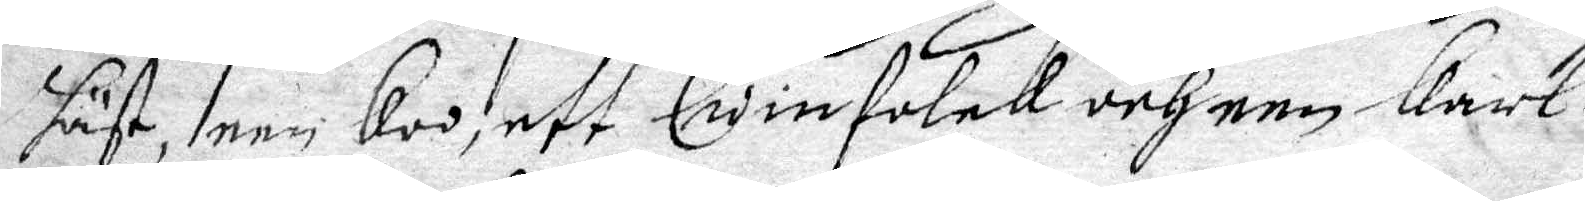häst, een Koo, ett Qwinfolk och een Karl.
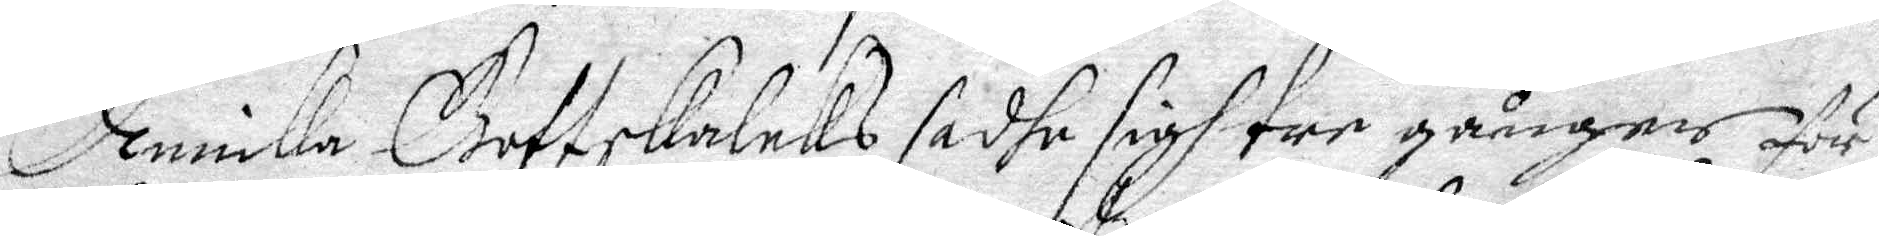Annika Gottskalcks sadhe sigh tre gånger för¬
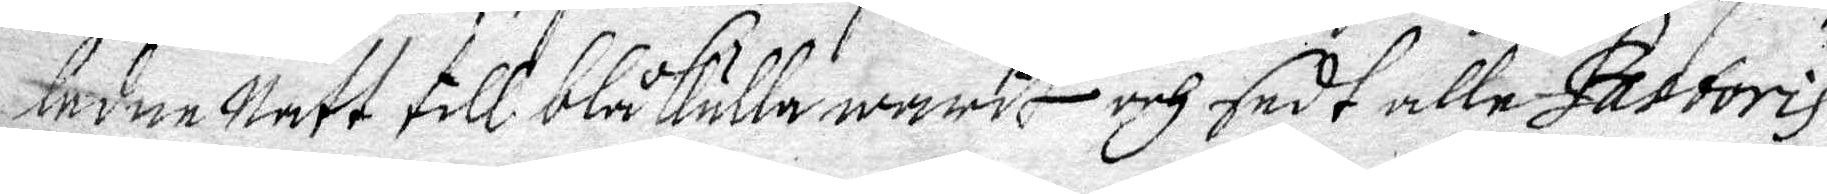ledne Natt till blåkulla warit och sedt alle Pastoris
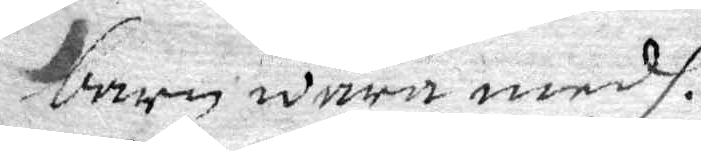barn wara medh.
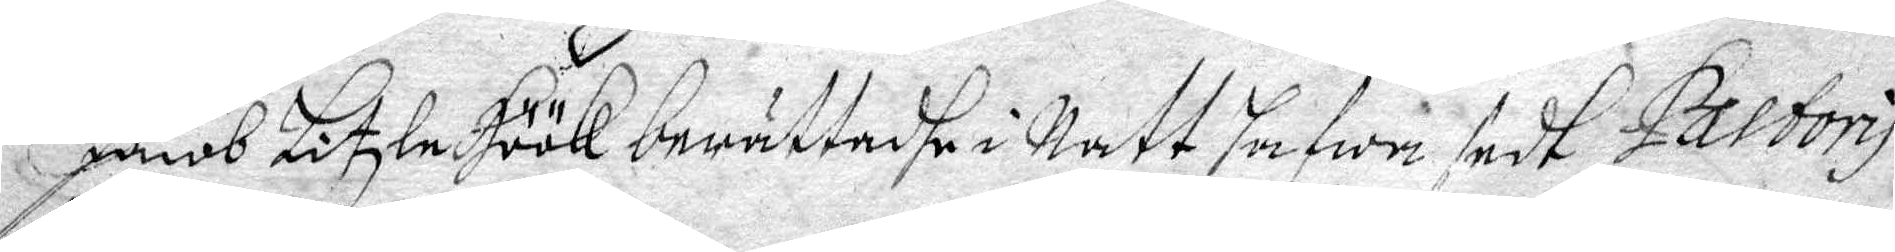Jacob Litzle Höök berättadhe i Natt hafwa sedt Pastoris
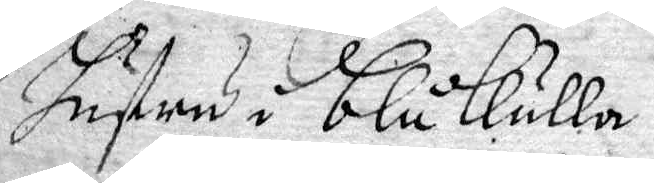hustru i blåkulla.
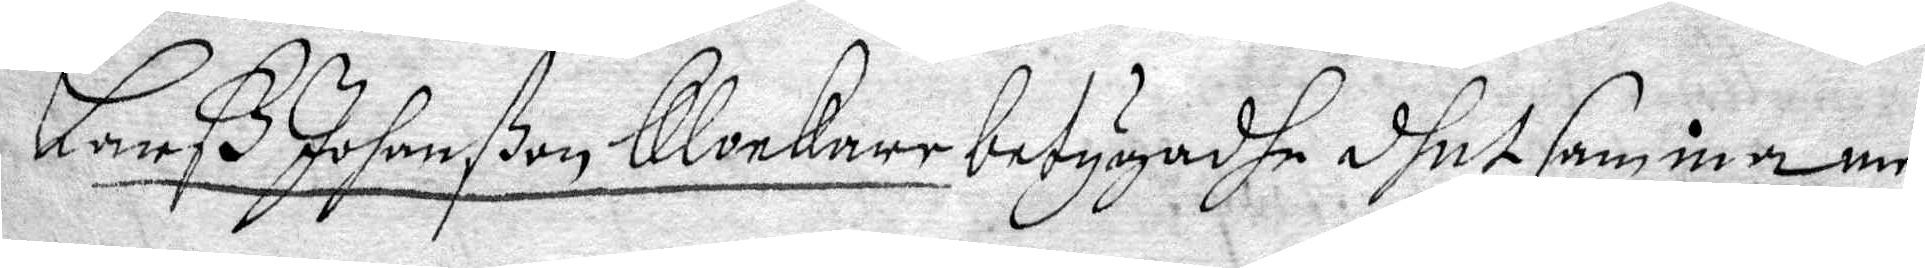Larß Johanßon Klonkare betygadhe dhet samma men
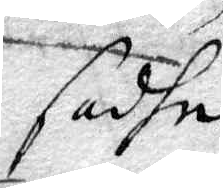sadhe
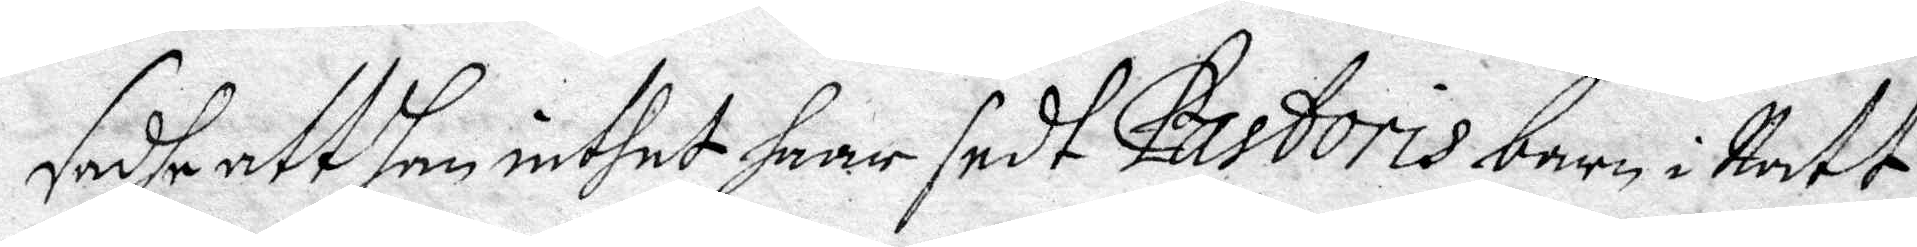sadhe att Han intehet haar sedt Pastoris barn i Natt.
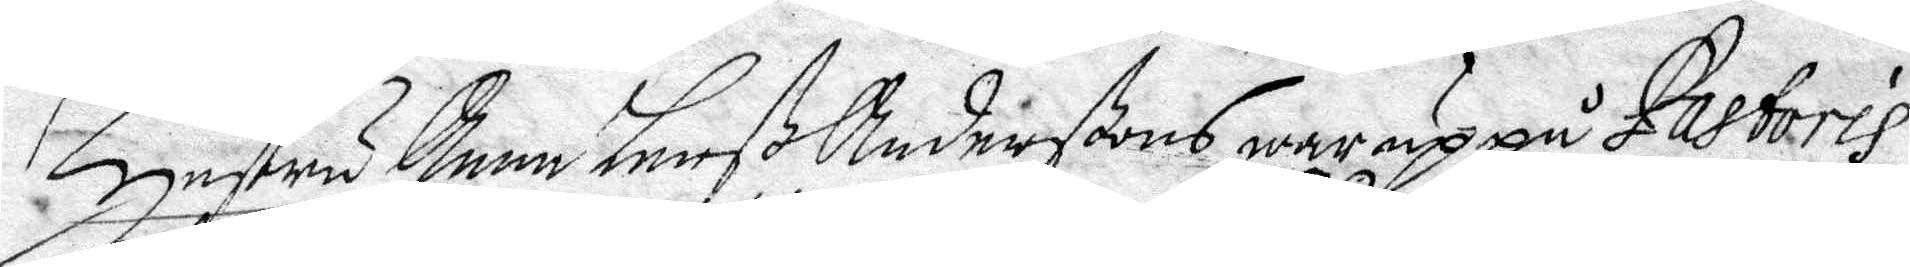Hustru Anna Larß Anderßons war uppå Pastoris
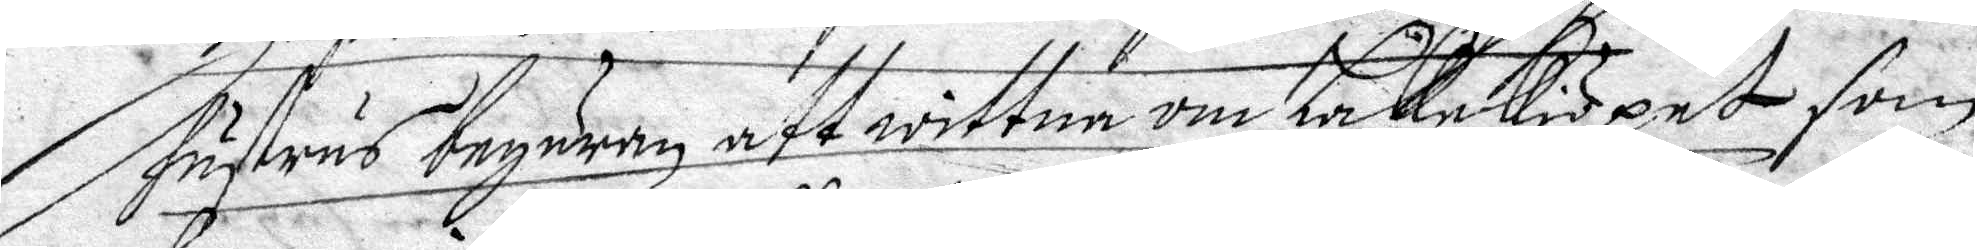hustrus begäran att wittna om Lakekiöpet som
